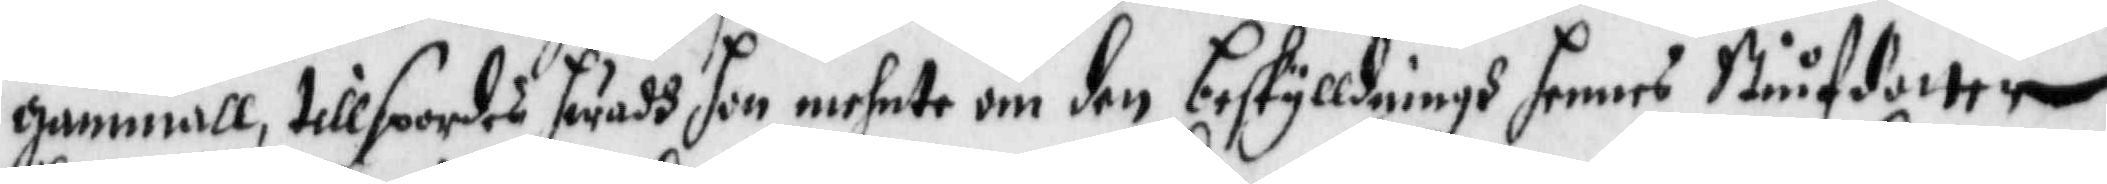gammaöö, tillspordes hwadh hon menthe om den beskylldningh hennes Stiufdotter
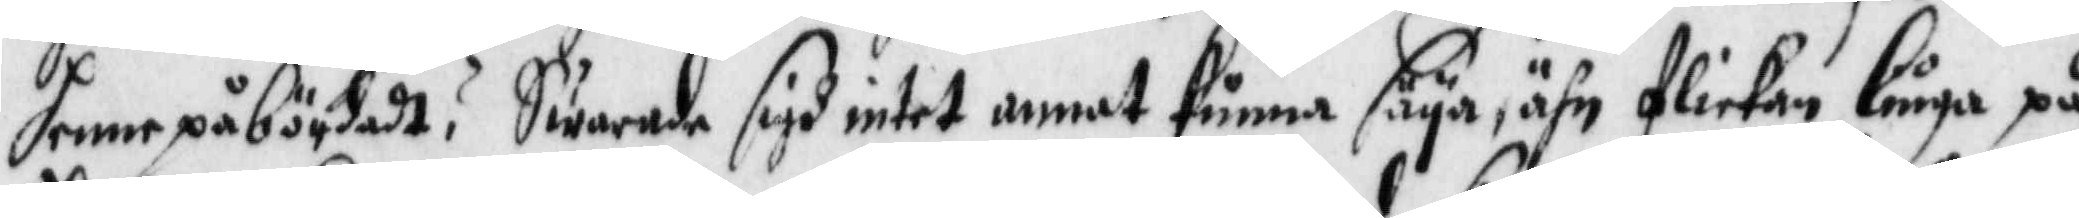henne påbördadt? Swarade sigh intet annat kunna säya, ähn flickan liuga på
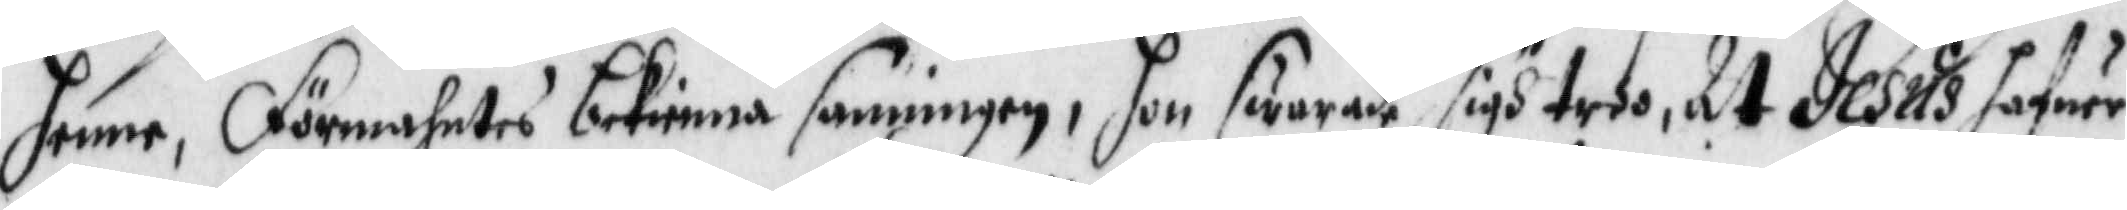henne, Förmahmtes bekienna sanningen, hon swarade sigh troo, at Jesus hafwer
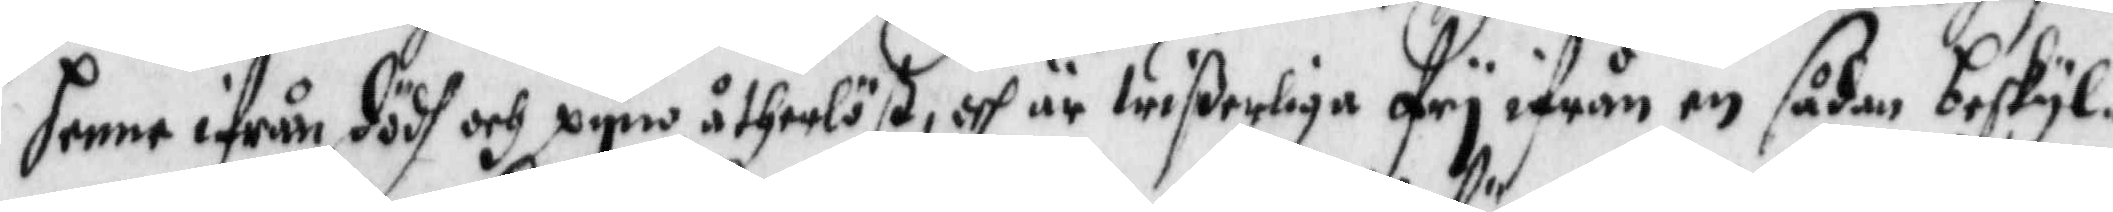henne ifrån dödh och pyna åtherlöst, och är wißerliga fry ifrån en sådan beskyl¬
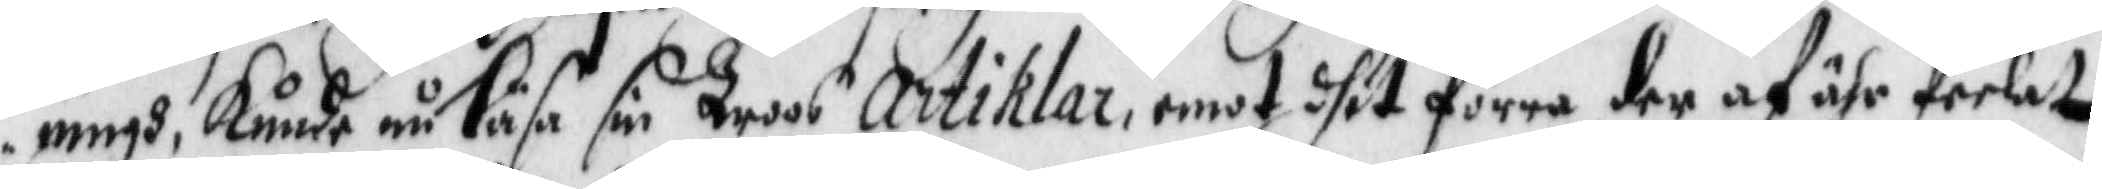ningh, kunde nu läsa son Troos Artiklar, emot dhet förra der af ähr feelat.
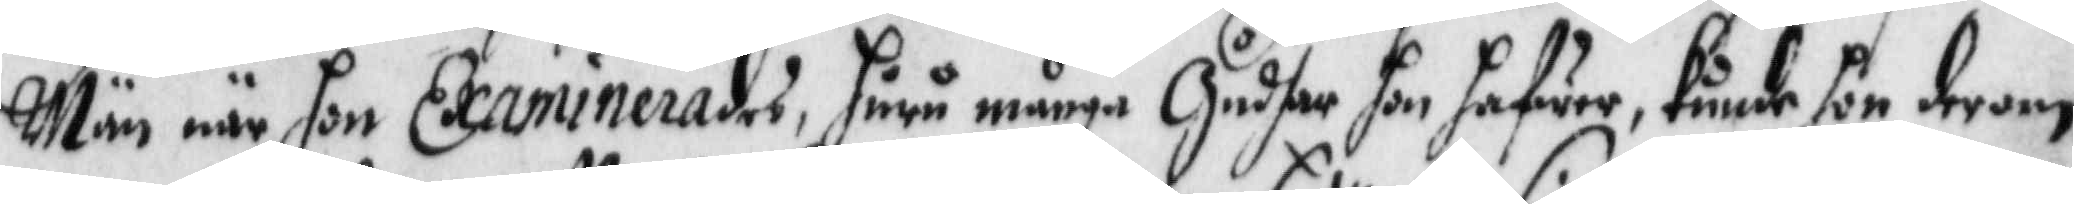Män när hon Examinerades, huru många Gudhar hon hafwer, kunde hon derom
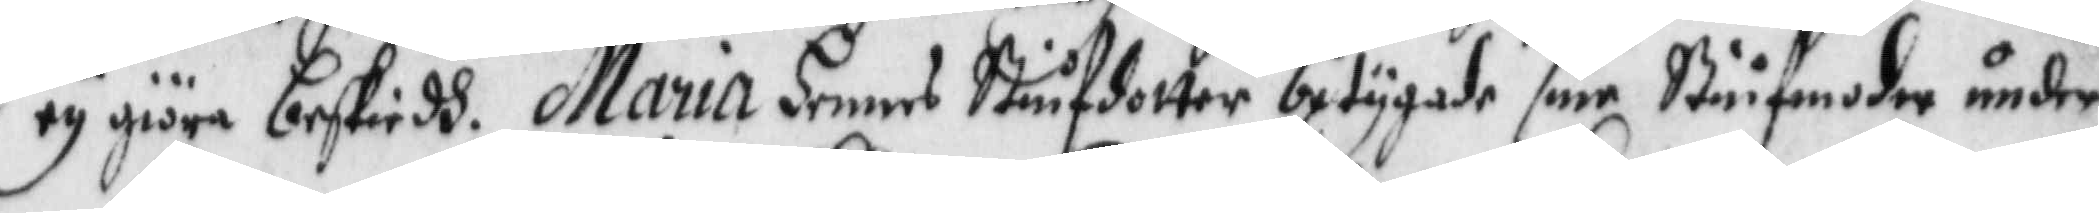ey giöra beskiedh. Maria hennes Stiufdotter betygade sine Stiufmodher under 
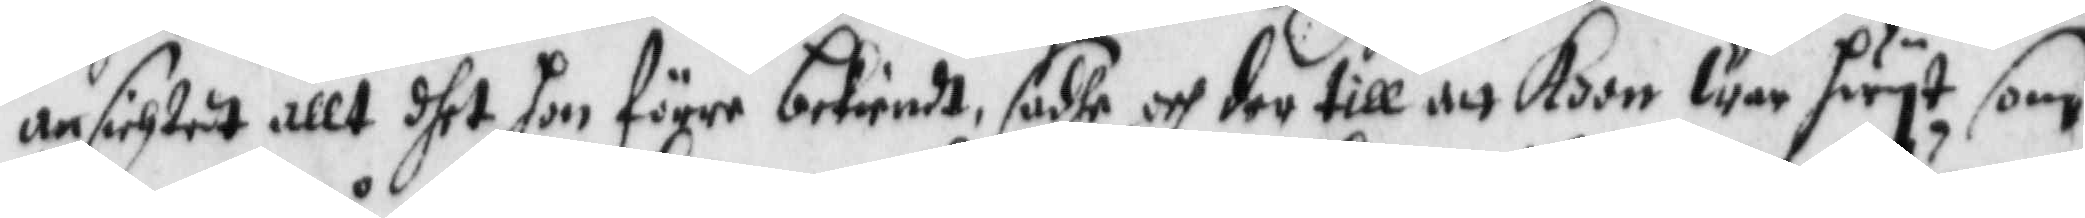ansichtet allt dhet hon förre bekiendt, sadhe och der till att Koon war hwyt som
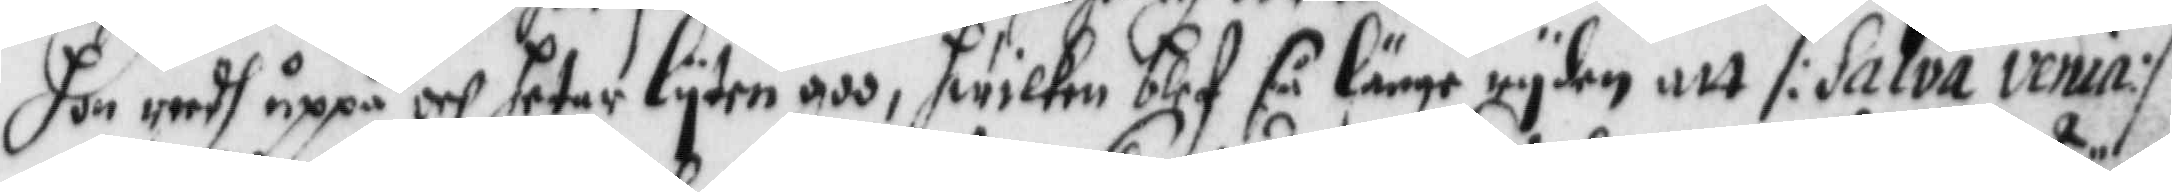hon reedh uppå och heter lyten goo, hwilken blef så länge ryden att /:Salva venia:/
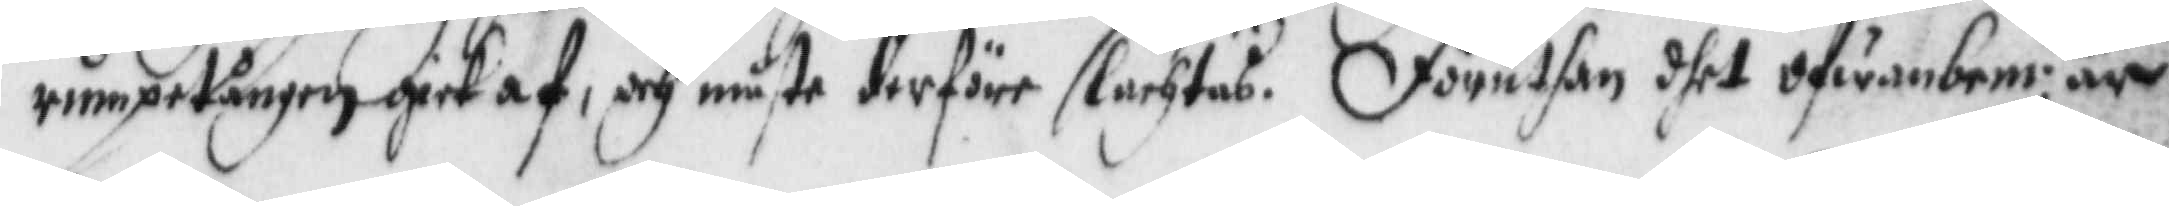rumpestången gick af, och måste derföre slagtas. Föruthan dhet ofwanbem:te är¬
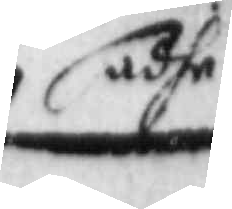adhe
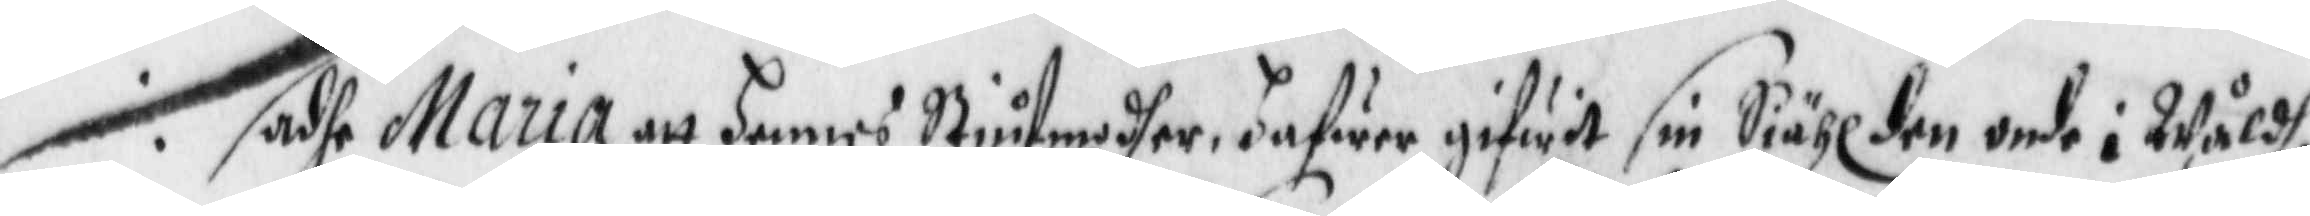sadhe Maria att Hennes Stiufmodher, Hafwer gifwit sin Siähl den onde i Wåldh,
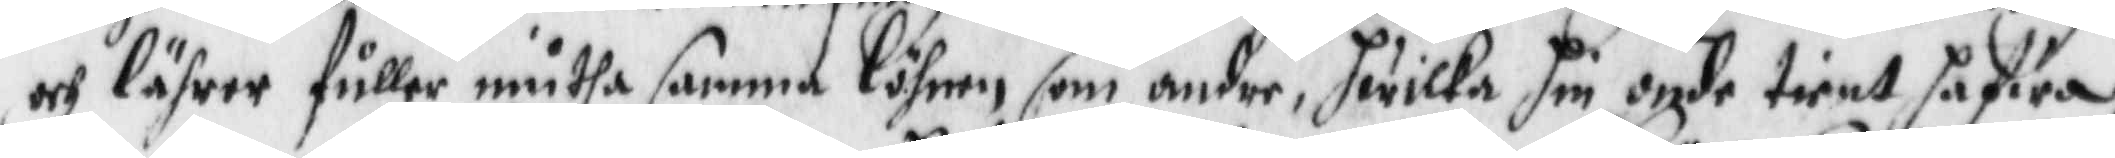och lärer fuller niutha samma löhnen som andre, hwilka Hin onde tient hafwa
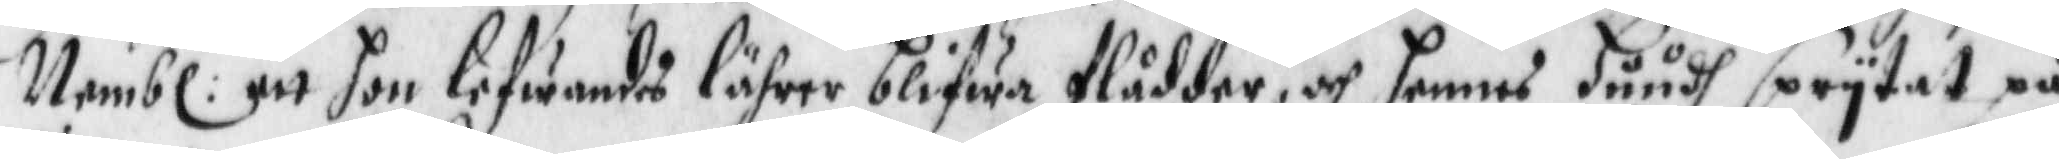Nembl: att hon lefwandes lährer blifwa flådder, och hennes Huudh spytat på
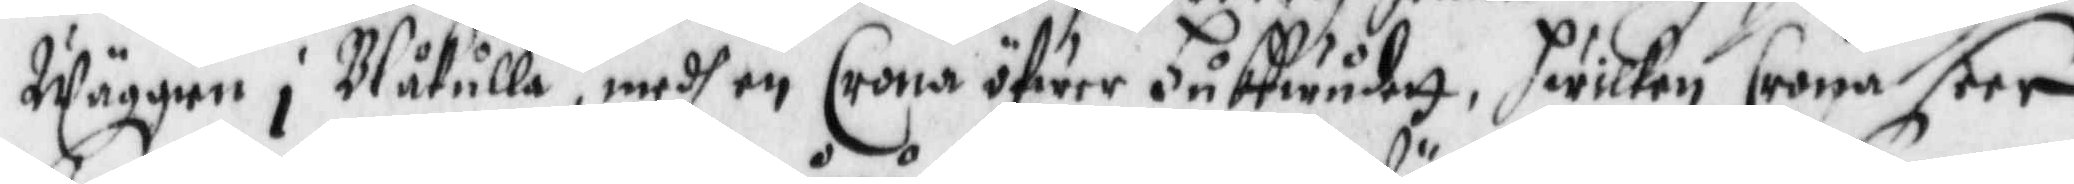Wäggien i Blåkulla, medh en Crona öfwer Huffwuderr, hwilken Crona seer
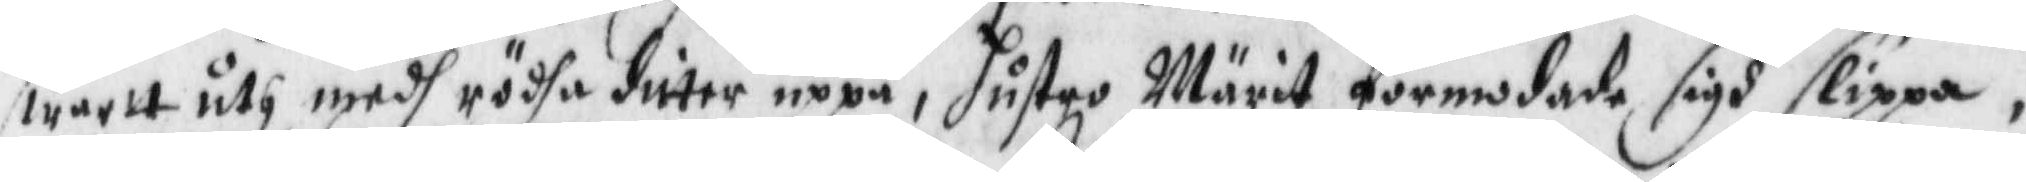swartt uth medh rödha duter uppå, hustro Märit förmodade sigh slippa.
